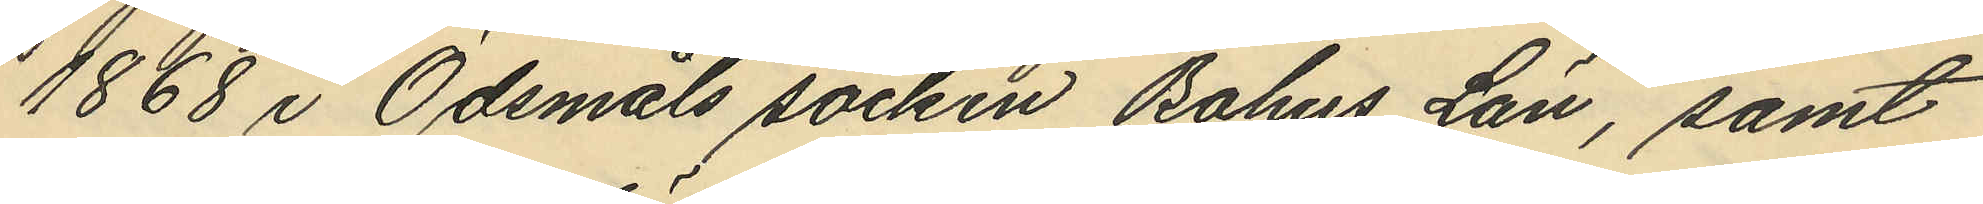1868 i Ödsmåls socken Bohus Län, samt
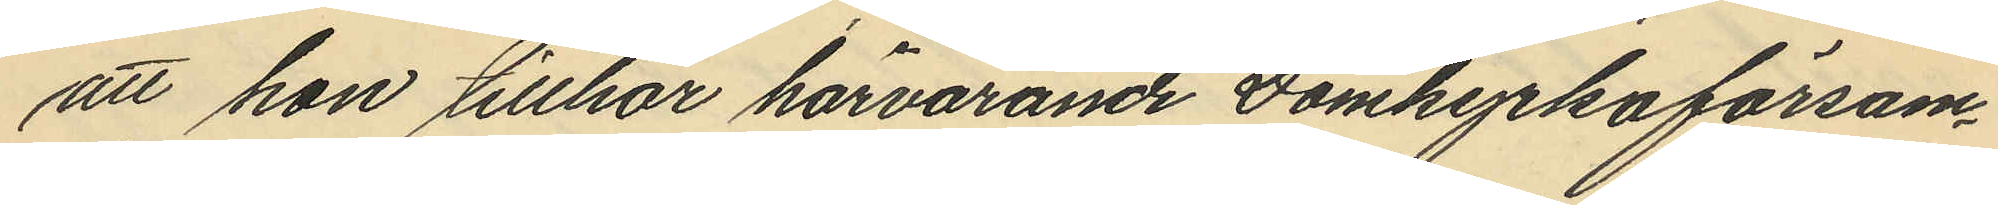att hon tillhör härvarande Domkyrkoförsam¬
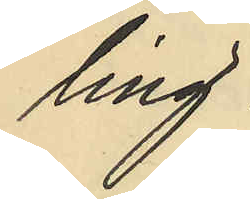ling.
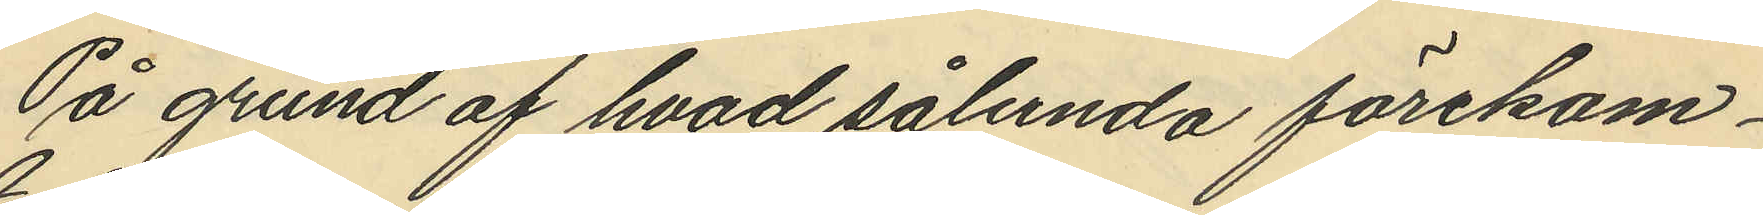På grund af hvad sålunda förekom¬
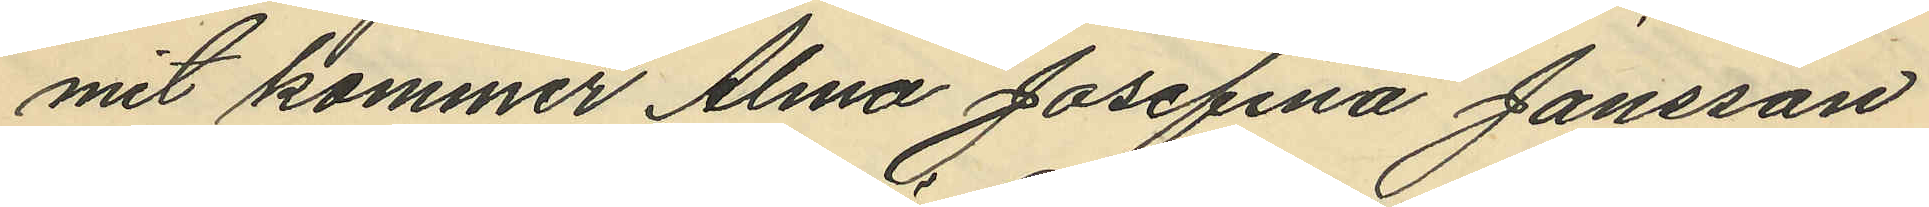mit kommer Alma Josefina Jansson
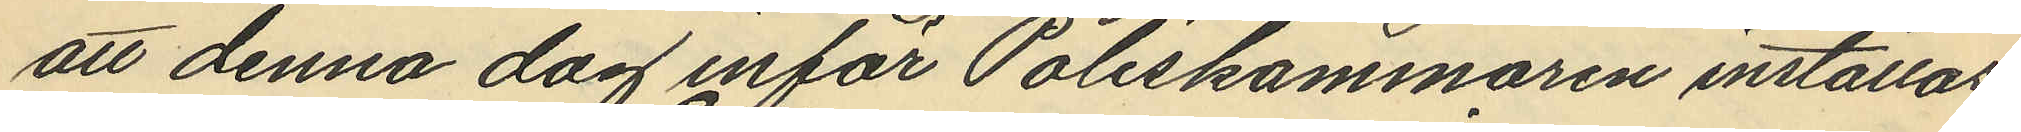att denna dag inför Poliskammaren inställas
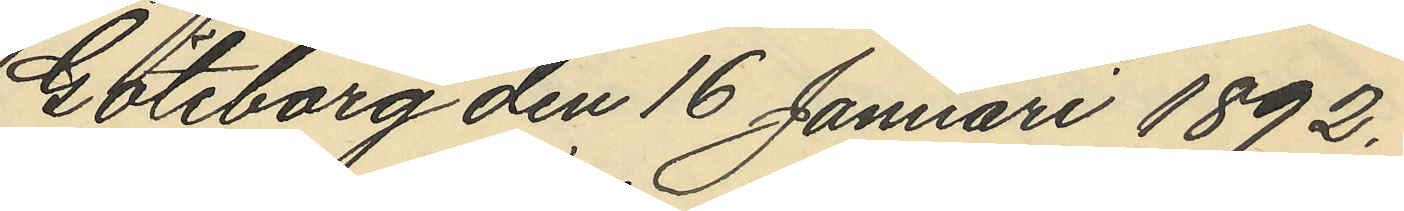Göteborg den 16 Januari 1892.
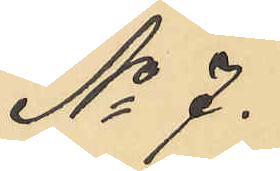No 7.
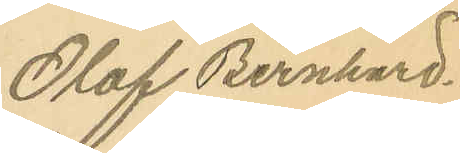Olof Bernhard
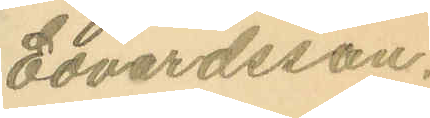Edvardsson.
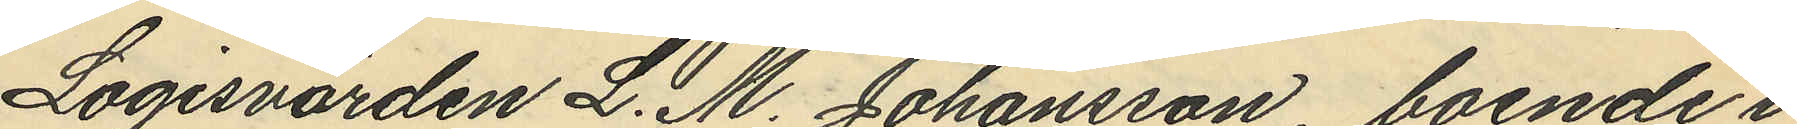Logisvärden L. M. Johansson, boende i
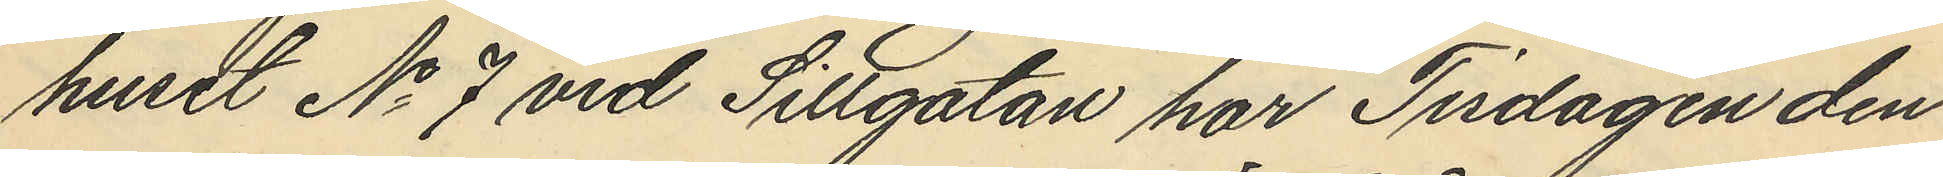huset No 7 vid Sillgatan har Tisdagen den
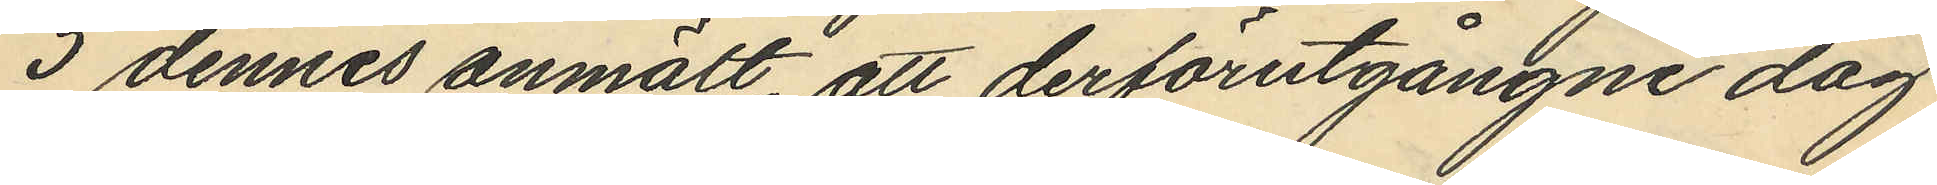5 dennes anmält, att derförutgångne dag
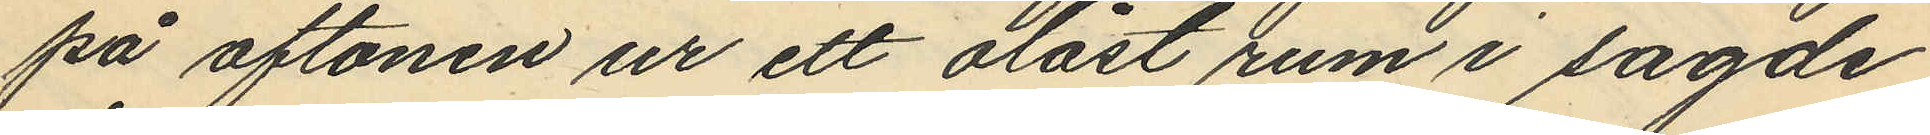på aftonen ur ett olåst rum i sagde
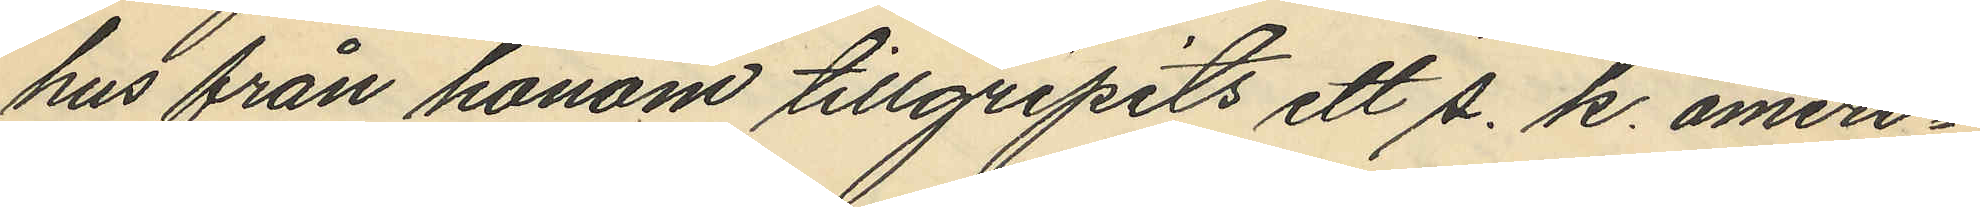hus från honom tillgripits ett s. k. ameri¬
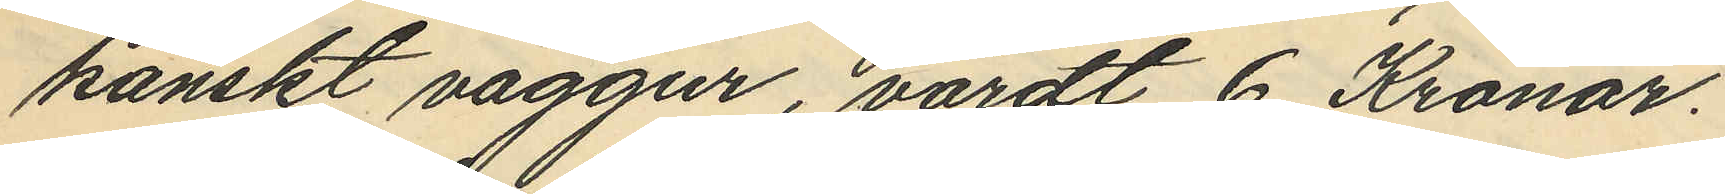kanskt väggur, värdt 6 Kronor.
